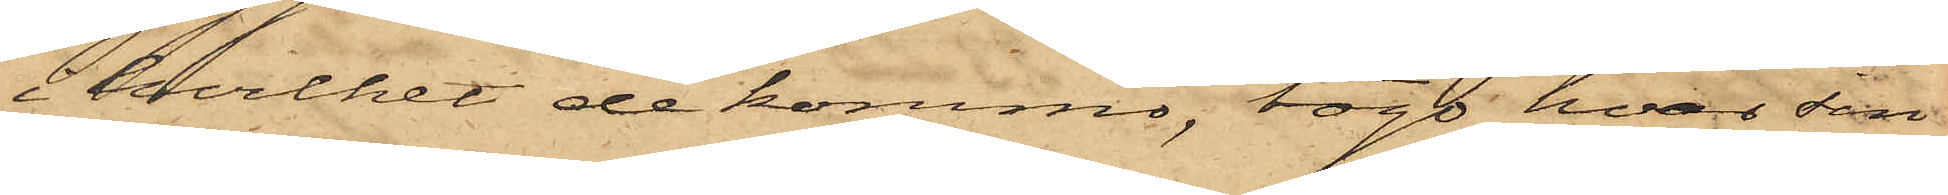i hvilket de kommo, togo hvar sin
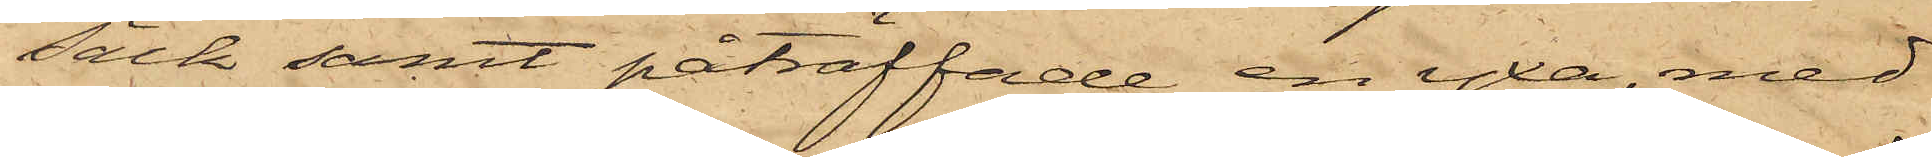säck samt påträffade en yxa, med
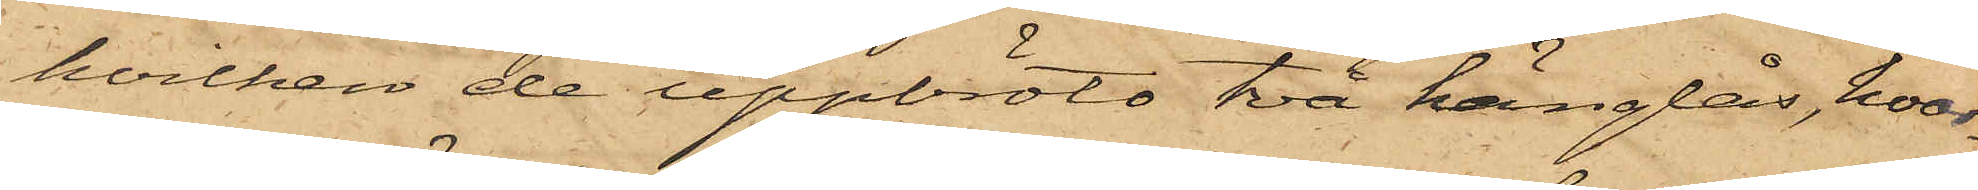hvilken de uppbröts två hänglås, hvar¬
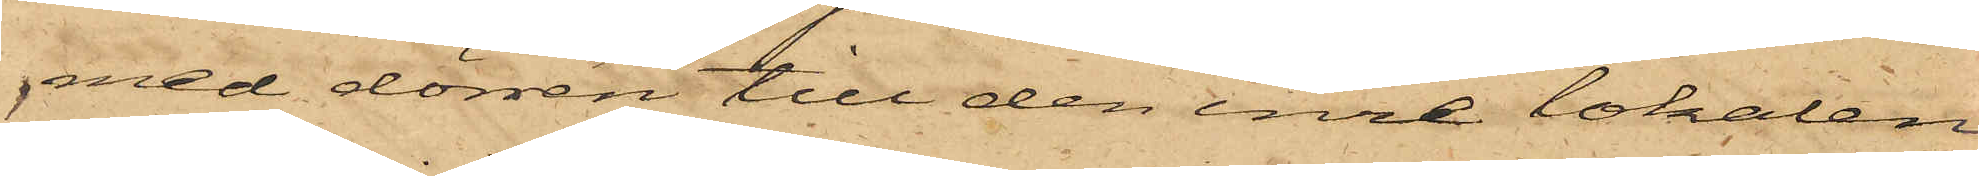med dörren till den inre lokalen
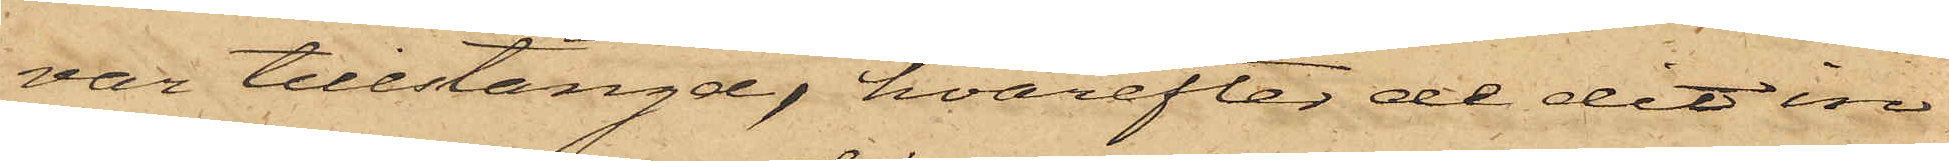var tillstängd, hvarefter de dit in¬
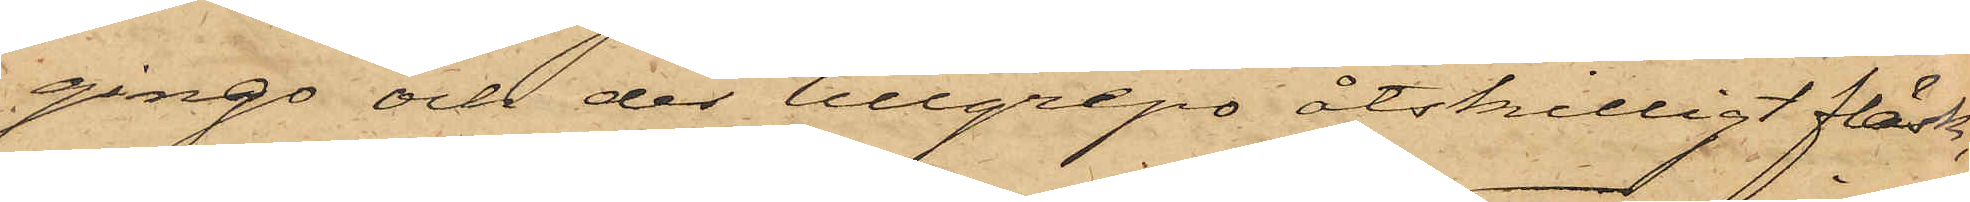ginge och der tillgrepo åtskilligt fläsk,
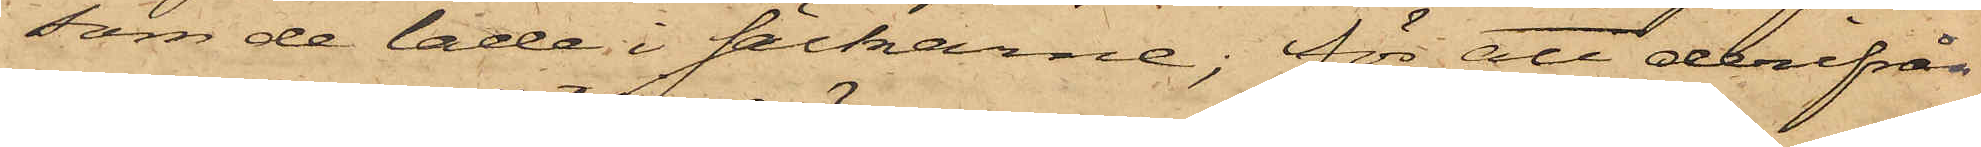som de lade i säckarne; för att derifrån
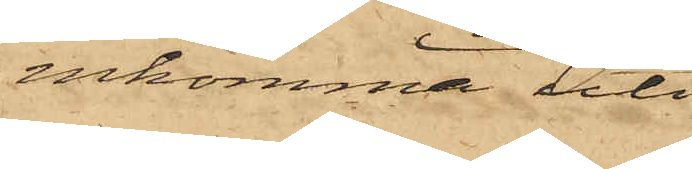inkomma uti
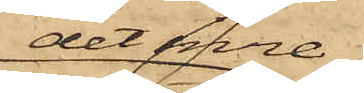det inre
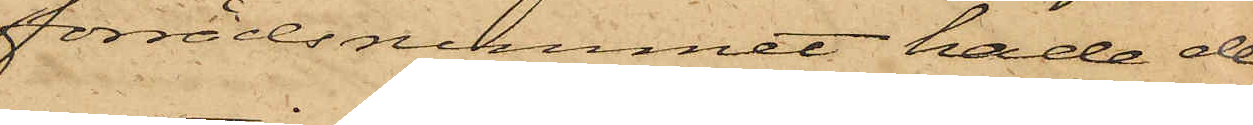förrådsrummet hade de
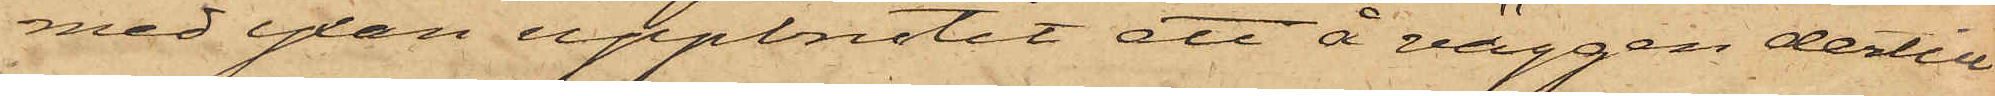med yxan uppbrutit ett å väggen dertill
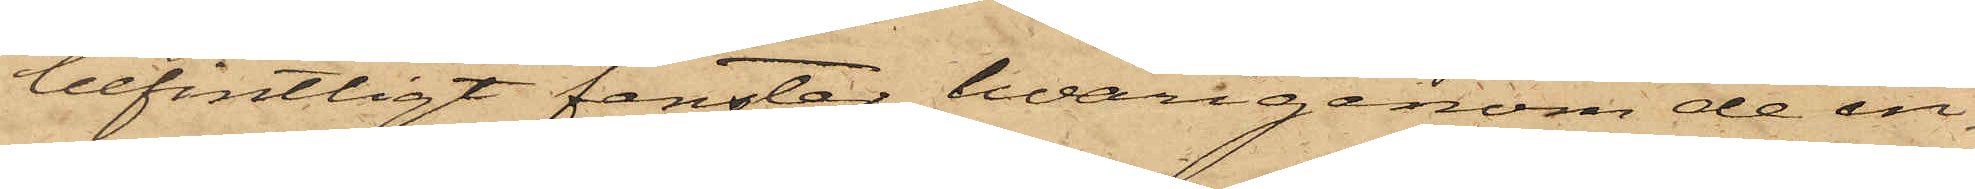befintligt fenster, hvarigenom de in¬
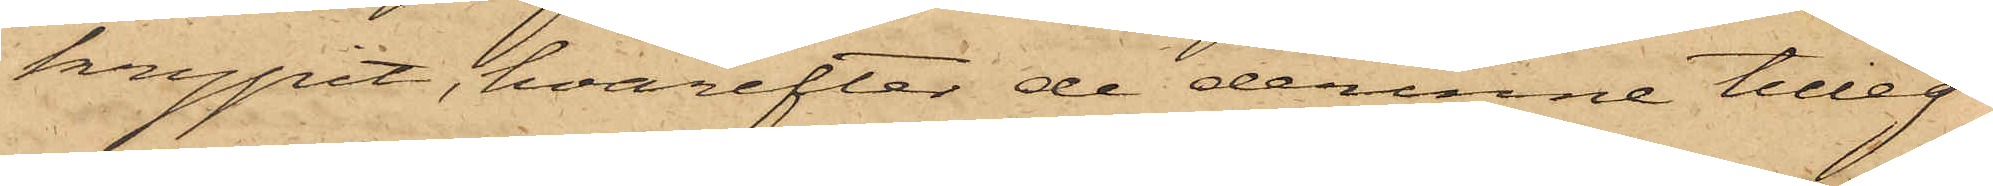krypit, hvarefter de derinne tilleg¬
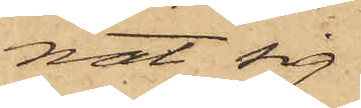nat sig
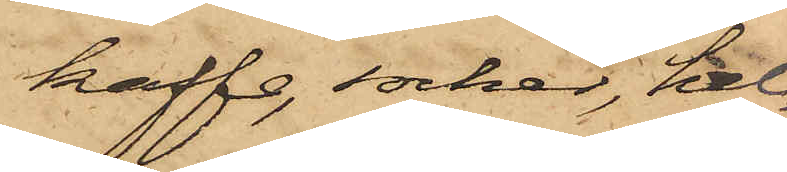kaffe, socker, hel¬
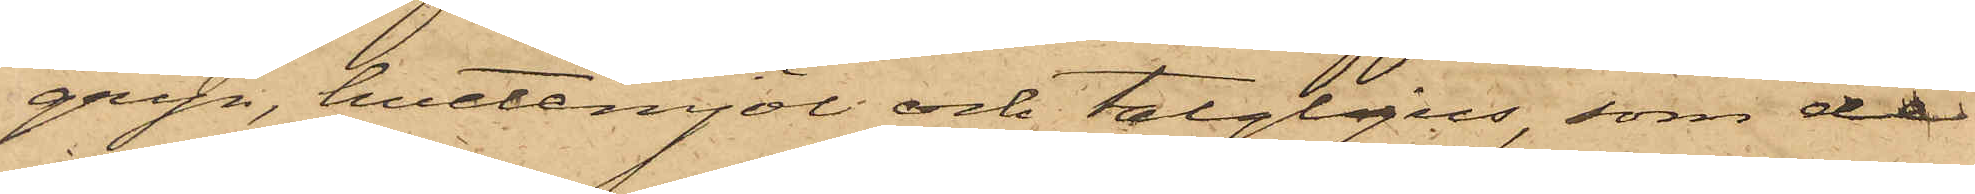gryn, hvetemjöl och talgljus, som de
